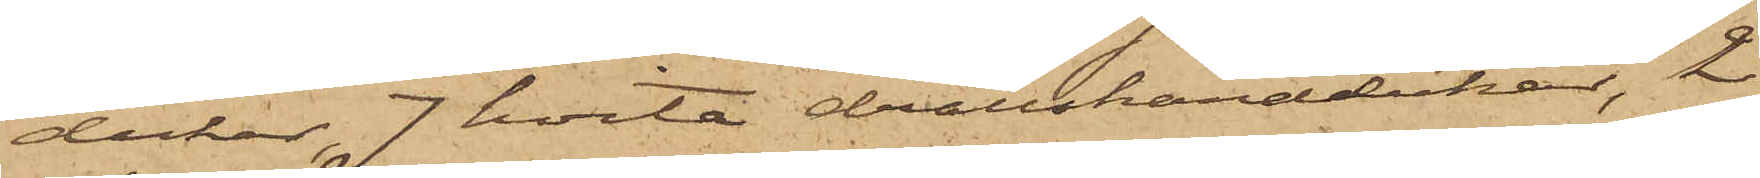dukar, 7 hvita drällshanddukar, 2
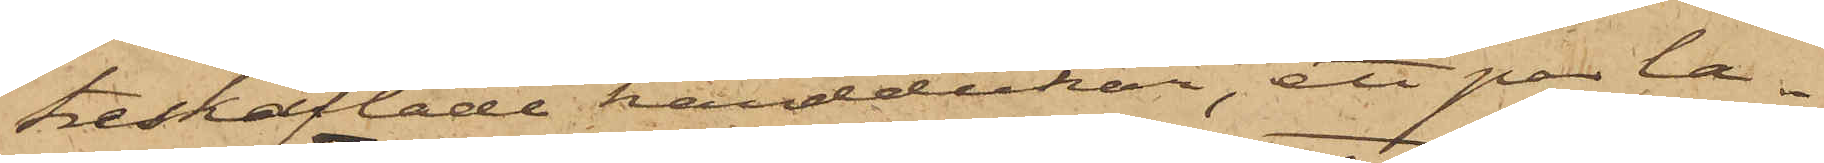treskäftade handdukar, ett par la¬
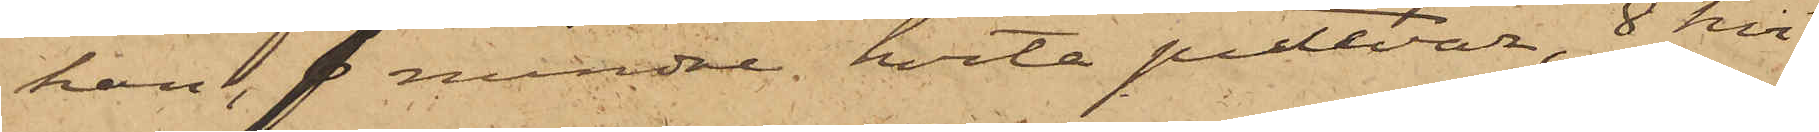kan, 7 mindre hvita putevar, 8 hvi¬
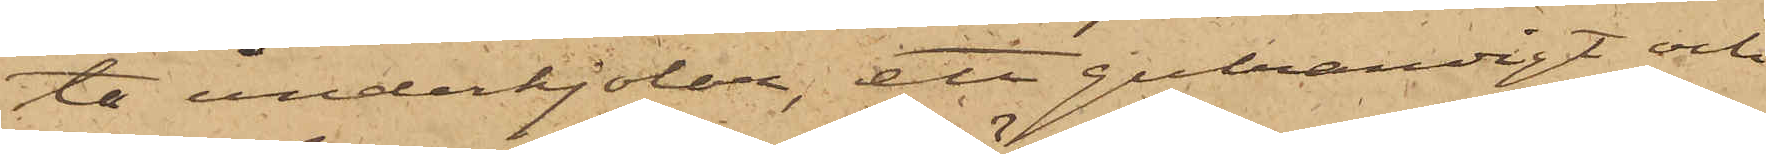ta underkjolar, ett gulrandigt och
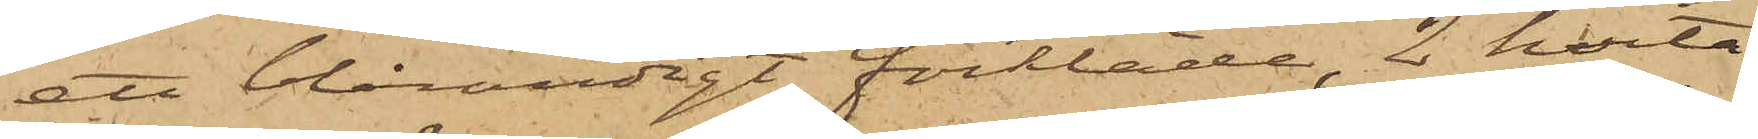ett blårandigt förkläde, 2 hvita
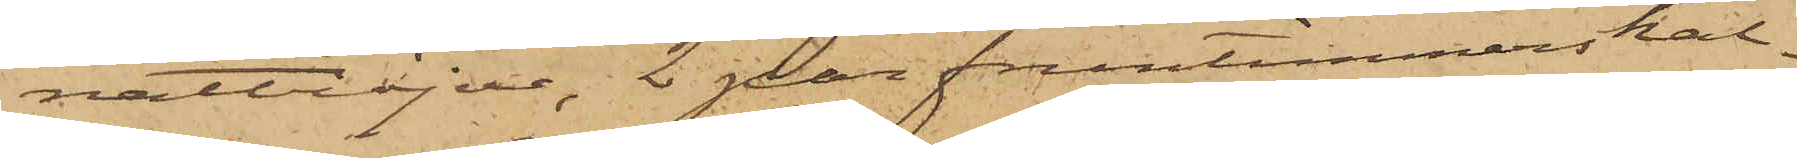nattröjor, 2 par fruntimmerskal¬
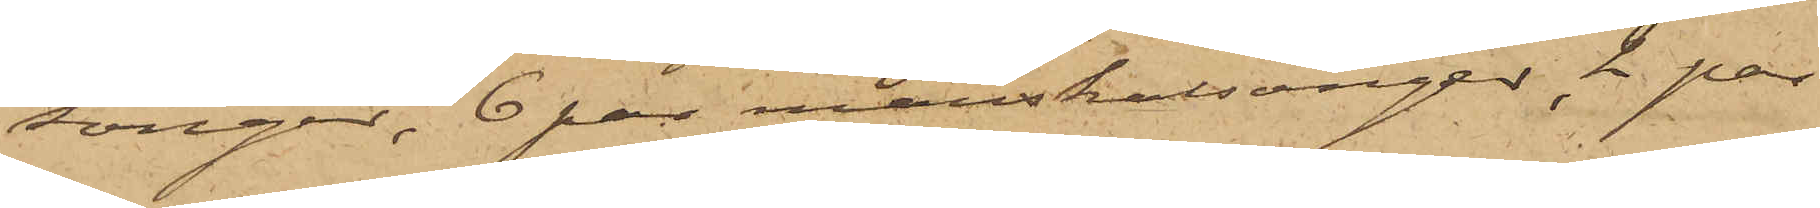songer, 6 par manskalsonger, 2 par
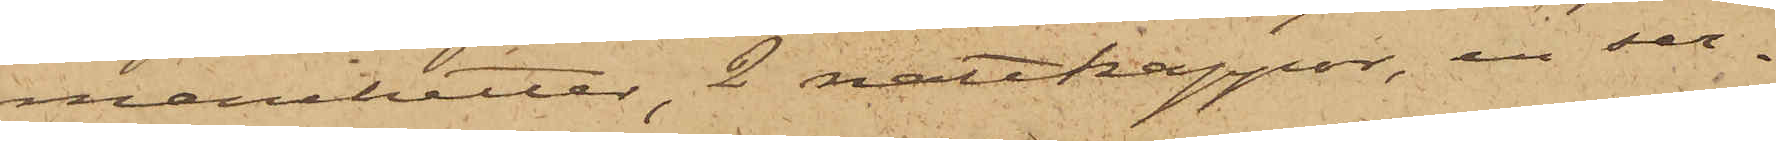manchetter, 2 nattkappor, en ser¬
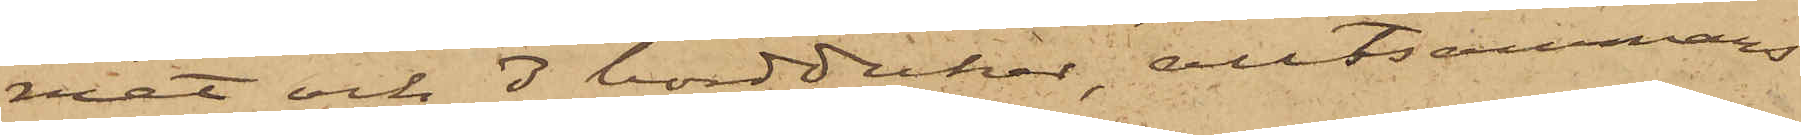viet och 3 borddukar, alltsammans
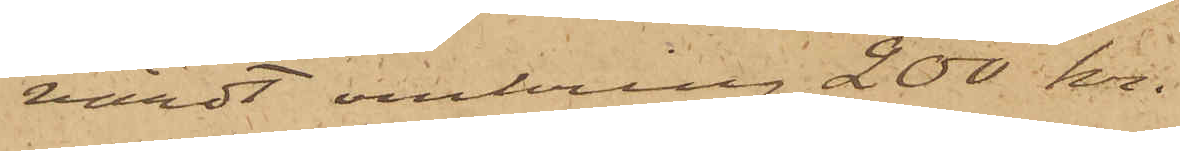värdt omkring 200 kr.
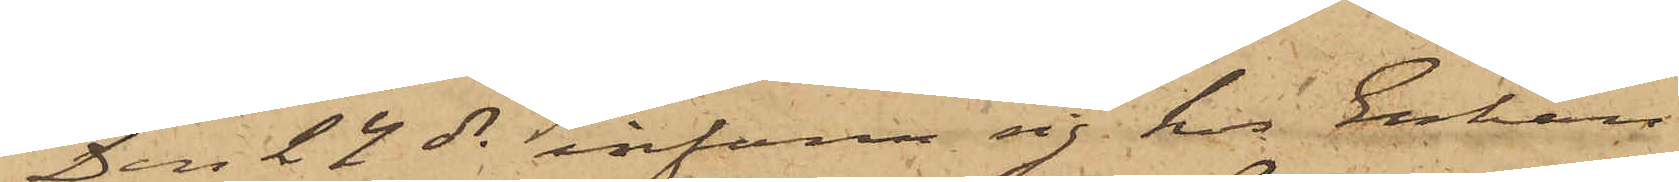Den 24 ds infann sig hos Enkan
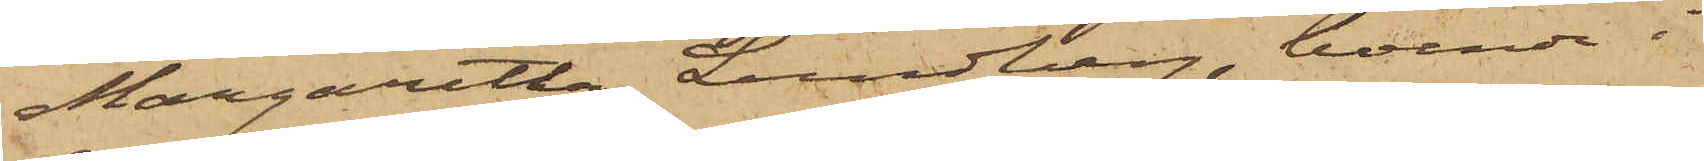Margaretha Lundberg, boende i
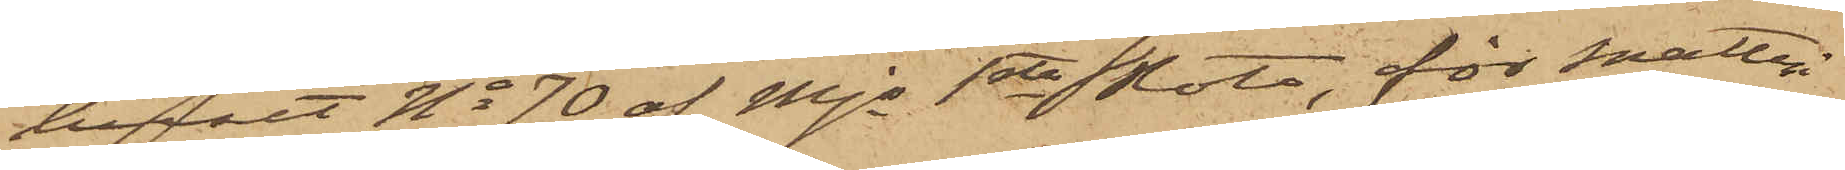huset No 70 af Mjs 1sta Rote, för snatteri
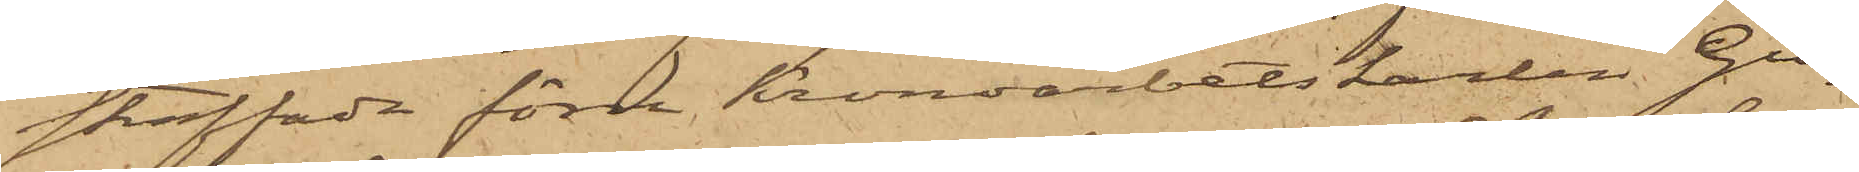straffade förre Kronoarbetskarlen Gu¬
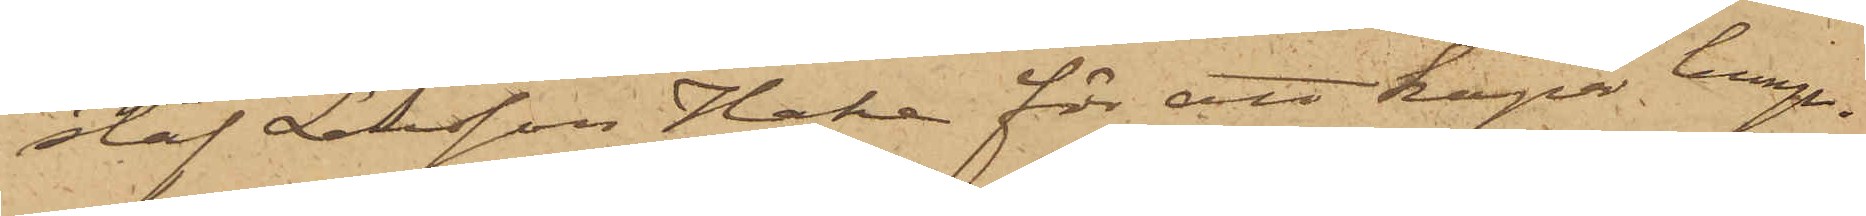staf Larsson Hake för att köpa lump.
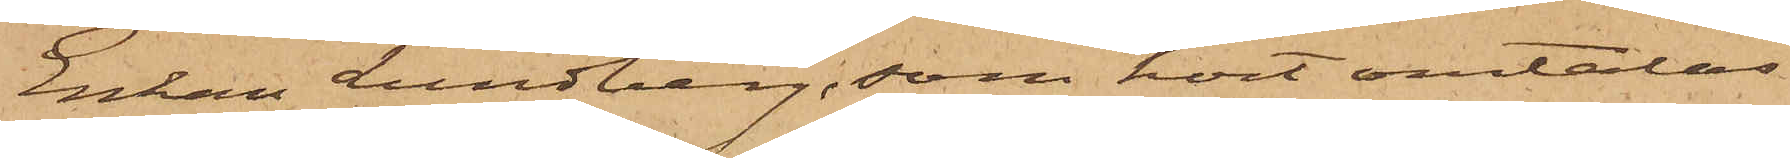Enkan Lundberg, som hört omtalas
